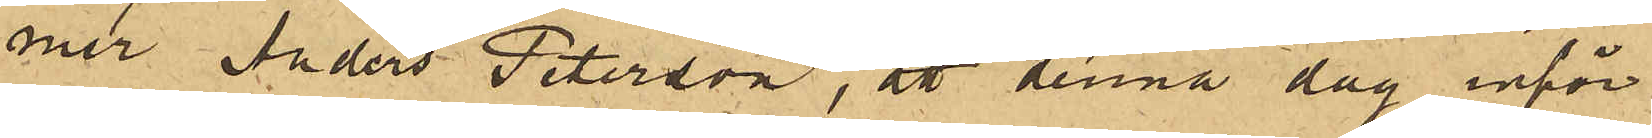mer Anders Peterson, att denna dag inför
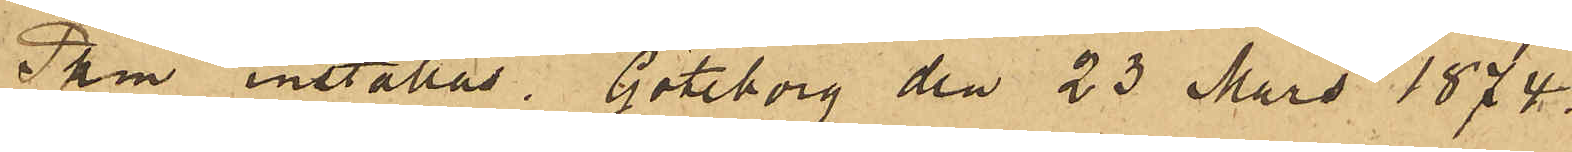Pkm inställas. Göteborg den 23 Mars 1874.
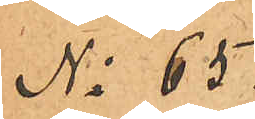No 65.
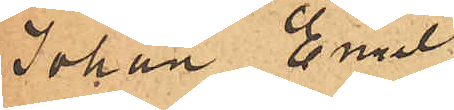Johan Emil
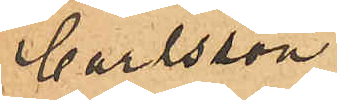Carlsson
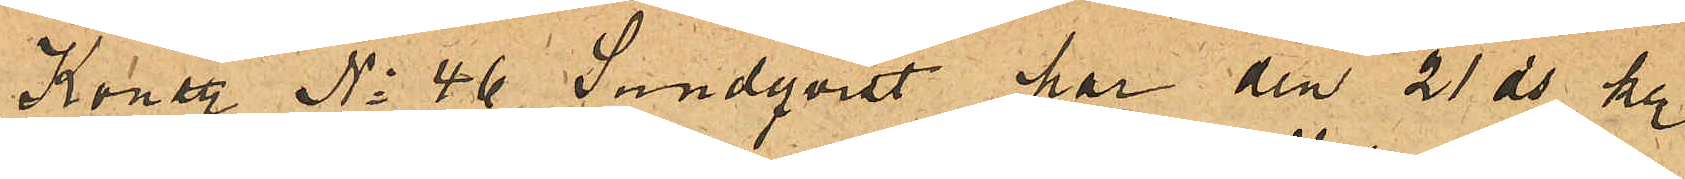Konstl No 46 Sundqvist har den 21 ds kl.
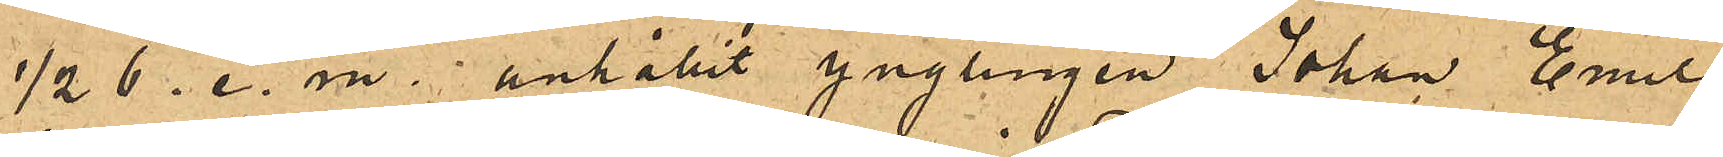½ 6. e. m. anhållit ynglingen Johan Emil
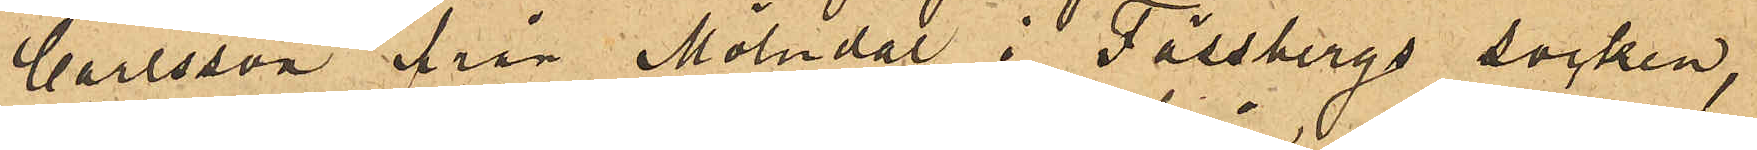Carlsson från Mölndal i Fässbergs socken,
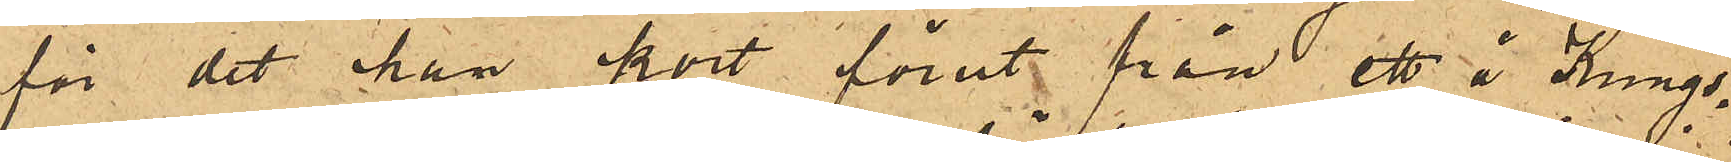för det han kort förut från ett å Kungs¬
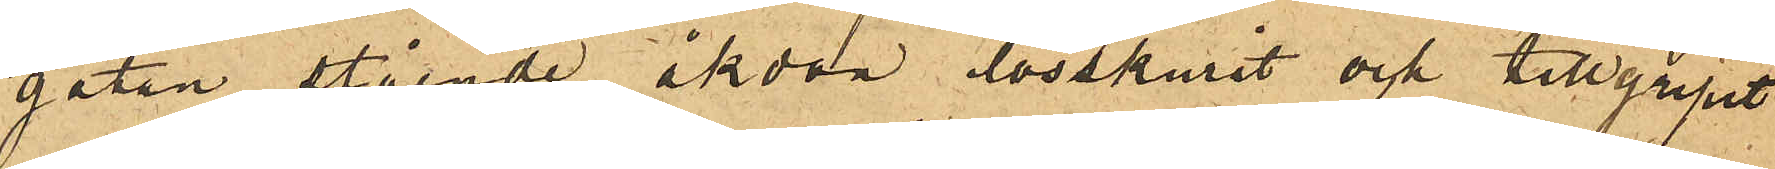gatan stående åkdon lösskurit och tillgripit
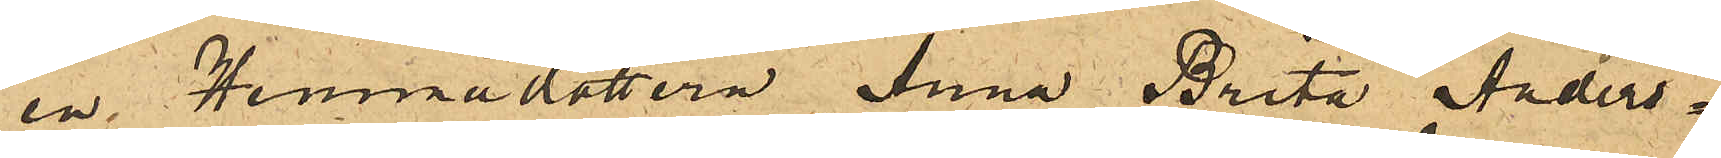en Hemmadottern Anna Brita Anders¬
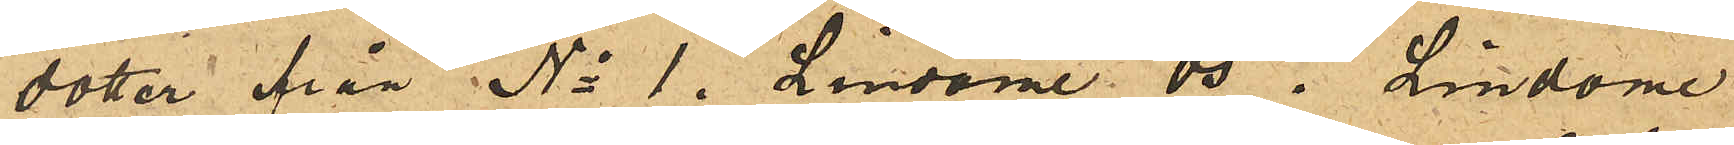dotter från No 1. Lindome Ös i Lindome
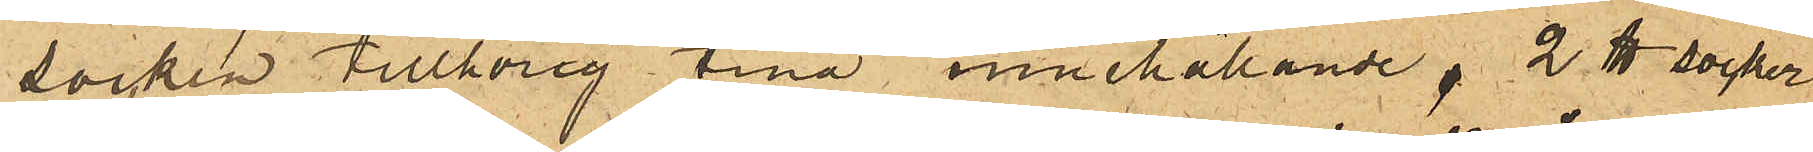socken tillhörig tina innehållande 2 ℔ socker
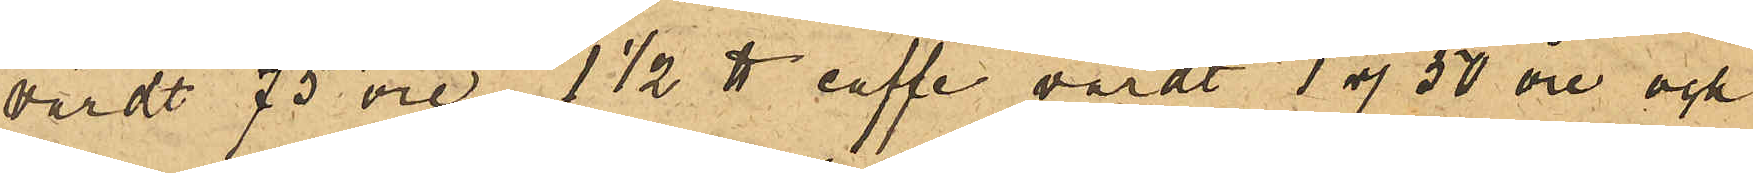värdt 75 öre 1½ ℔ caffe, värdt 1 rdr 50 öre och
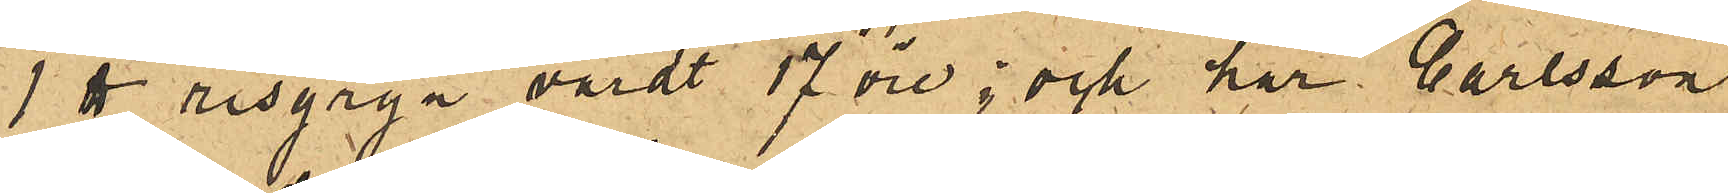1 ℔ risgryn värdt 17 öre; och har Carlsson
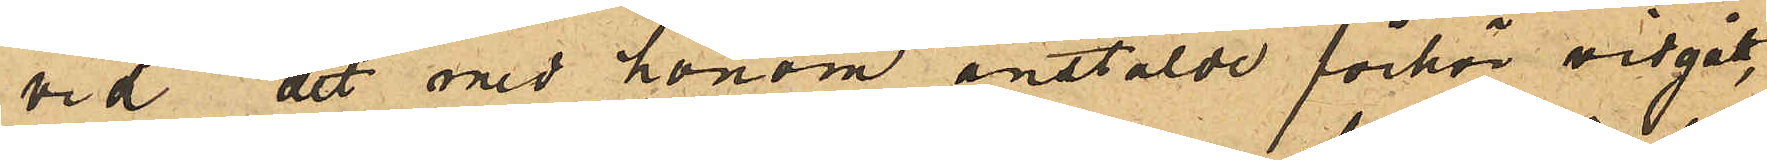vid det med honom anstälde förhör vidgått,
